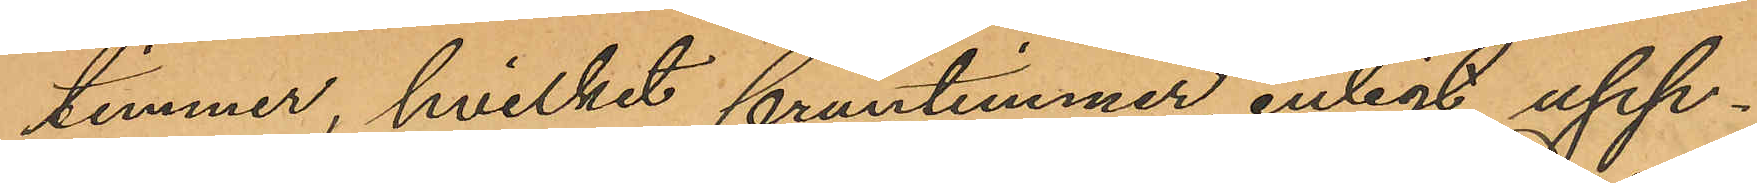timmer, hvilket fruntimmer enligt upp¬
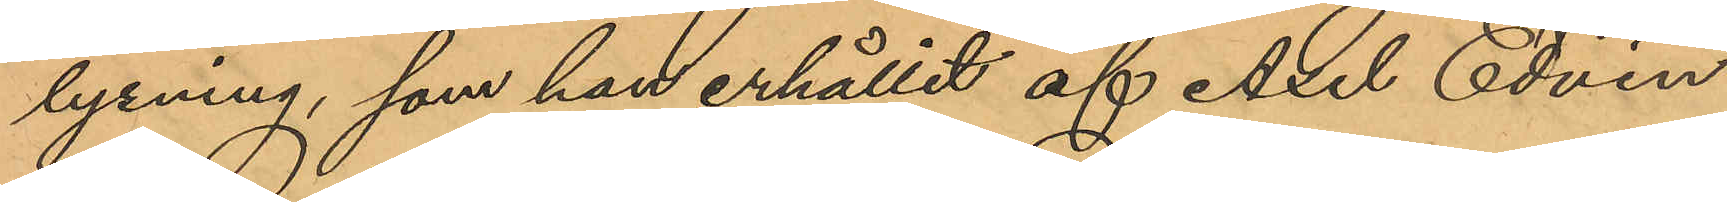lysning, som han erhållit af Axel Edvin
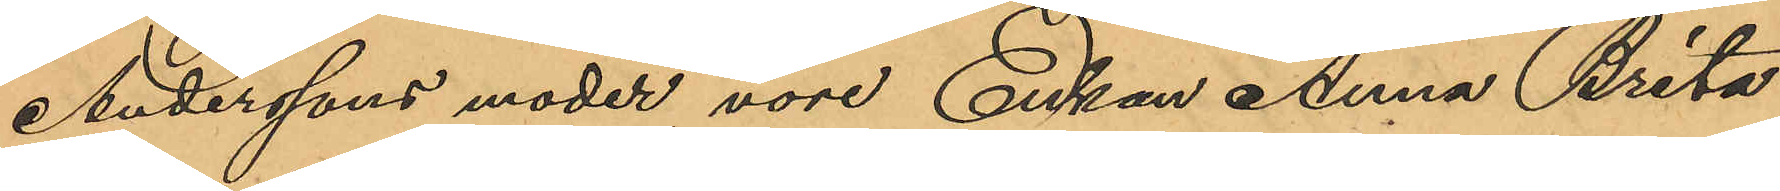Anderssons moder, vore Enkan Anna Brita
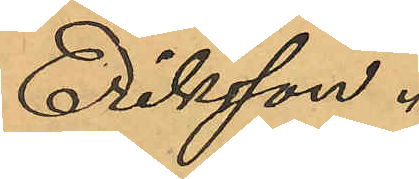Eriksson.
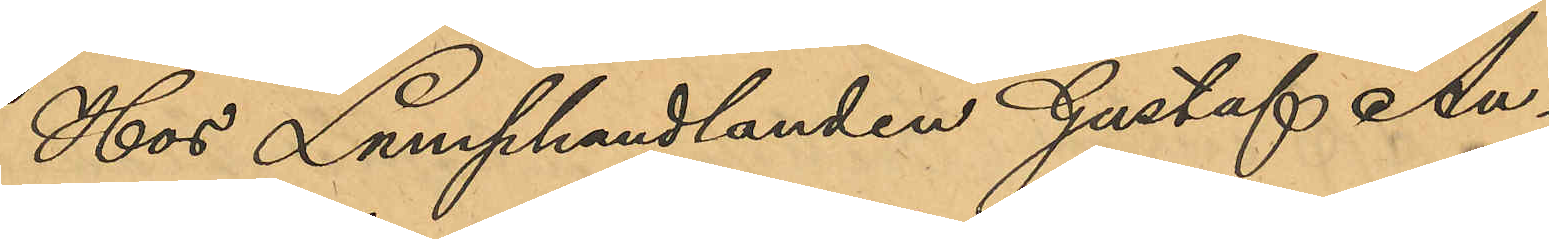Hos Lumphandlanden Gustaf An¬
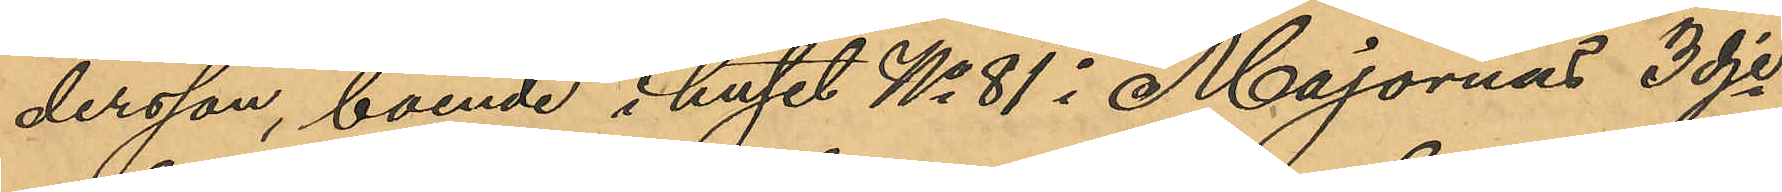dersson, boende i huset No 81 i Majornas 3dje
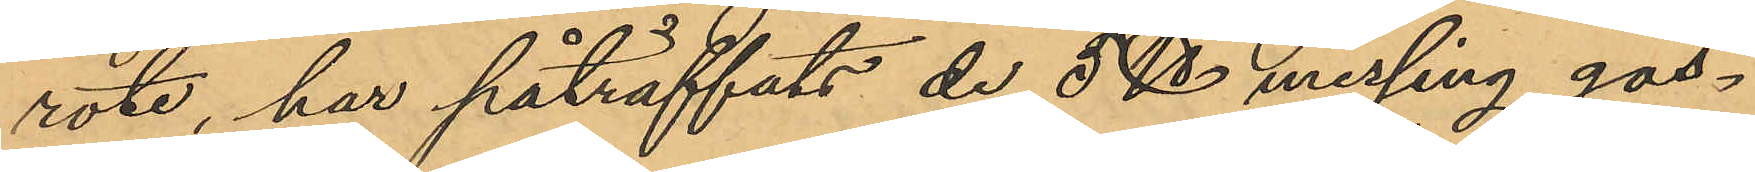rote, har påträffats de 5 ℔ messing gos¬
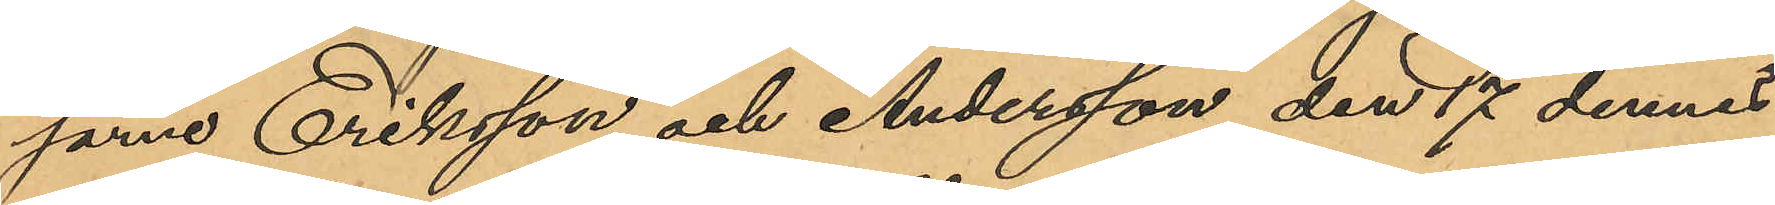sarne Eriksson och Andersson den 17 dennes
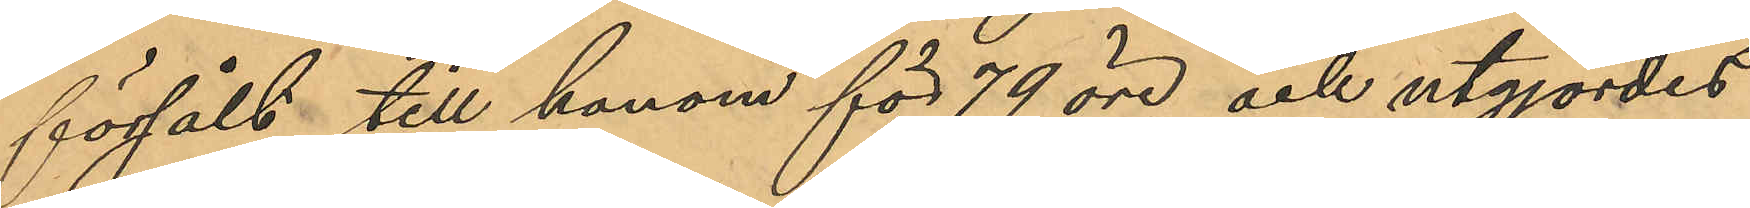försålt till honom för 79 öre och utgjordes
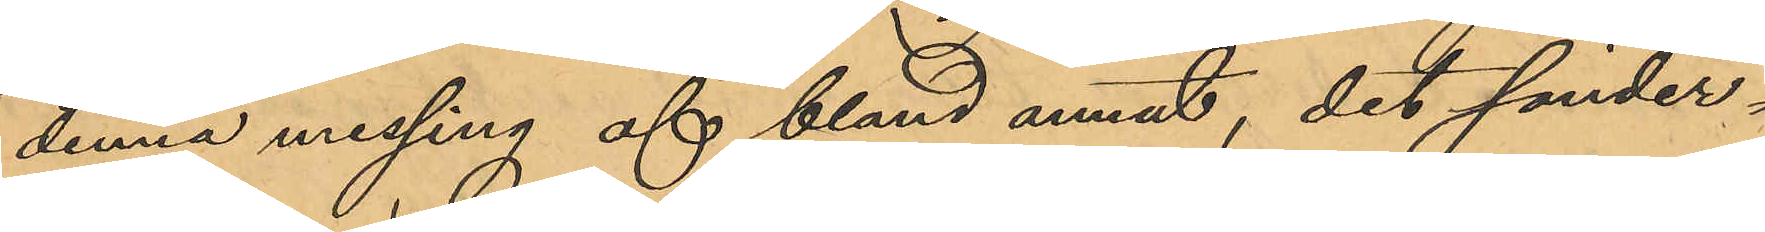denna messing af bland annat, det sönder¬
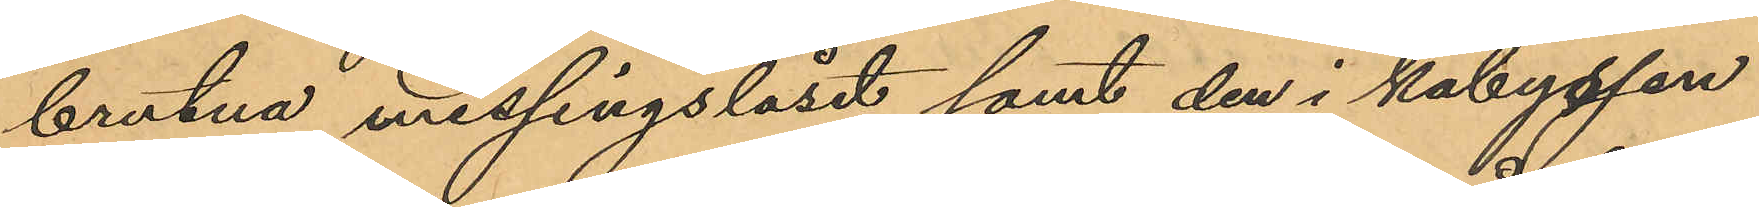brutna messingslåset samt den i kabyssen
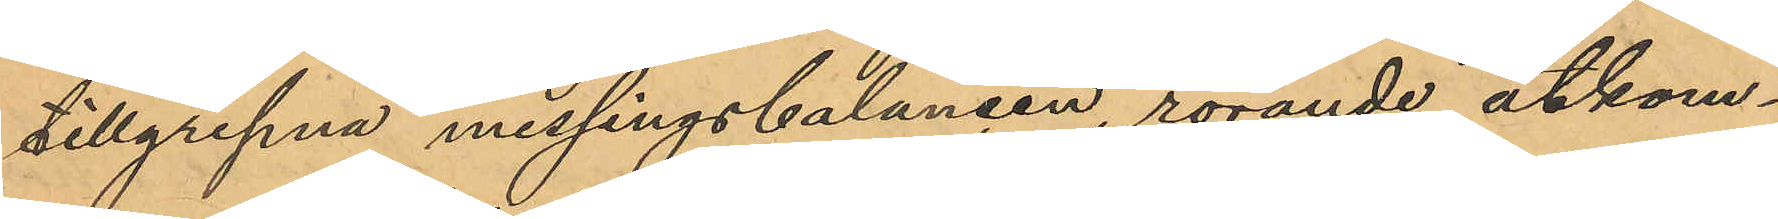tillgripna messingsbalancen, rörande åtkom¬
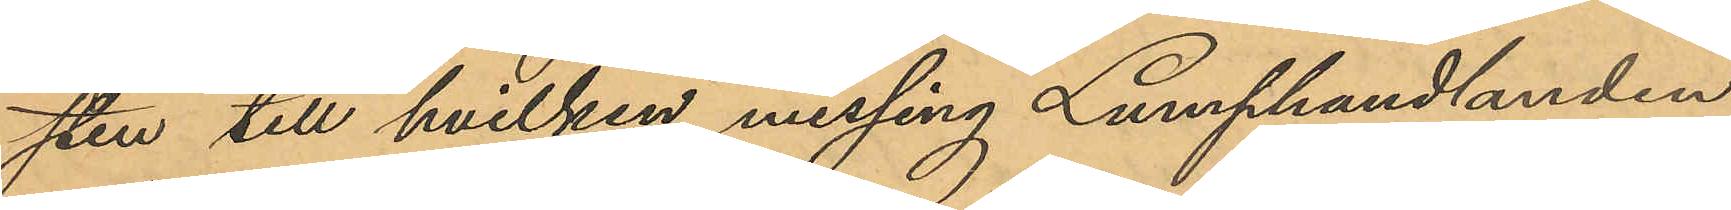sten till hvilken messing Lumphandlanden
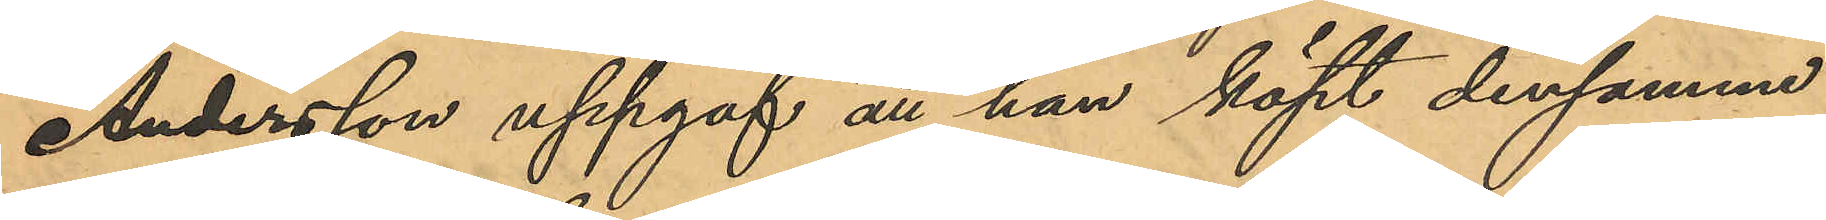Andersson uppgaf att han köpt densamme
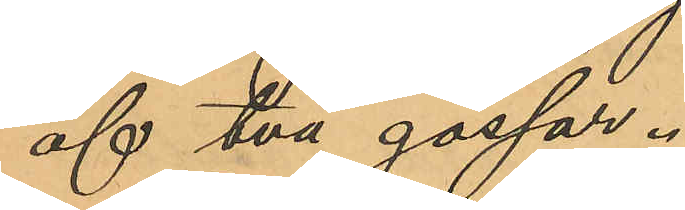af två gossar.
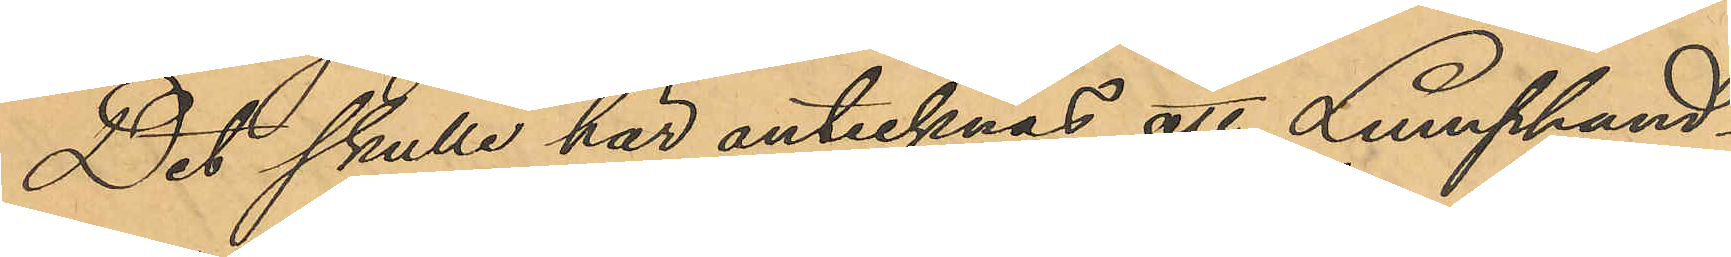Det skulle här antecknas att Lumphand¬
